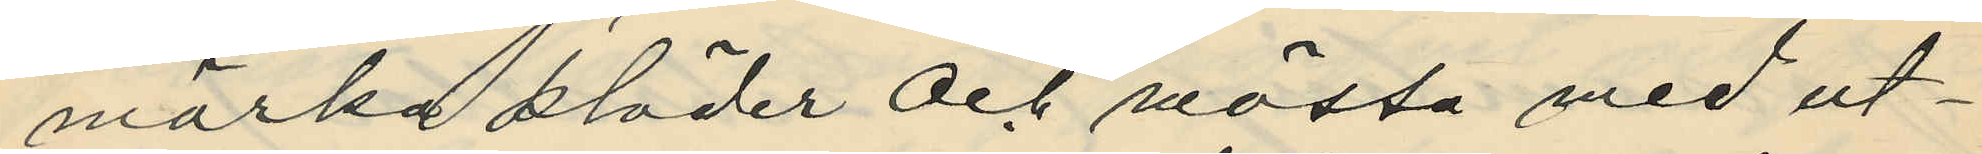mörka kläder och mössa med ut¬
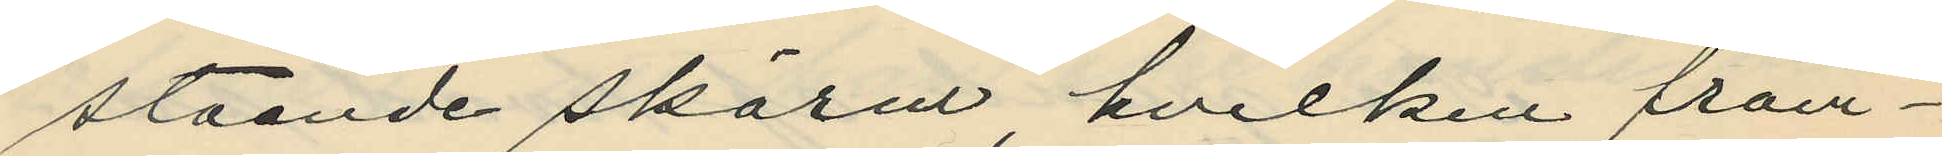stående skärm, hvilken främ¬
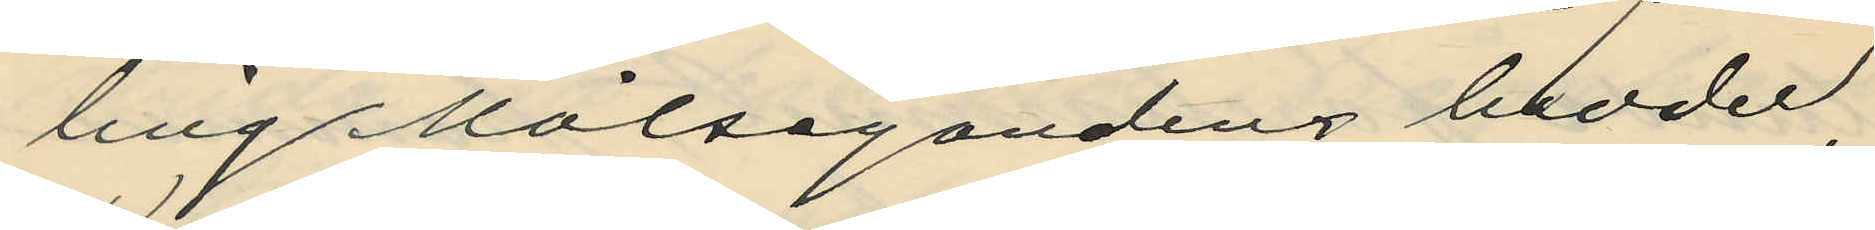ling Målsegandens broder,
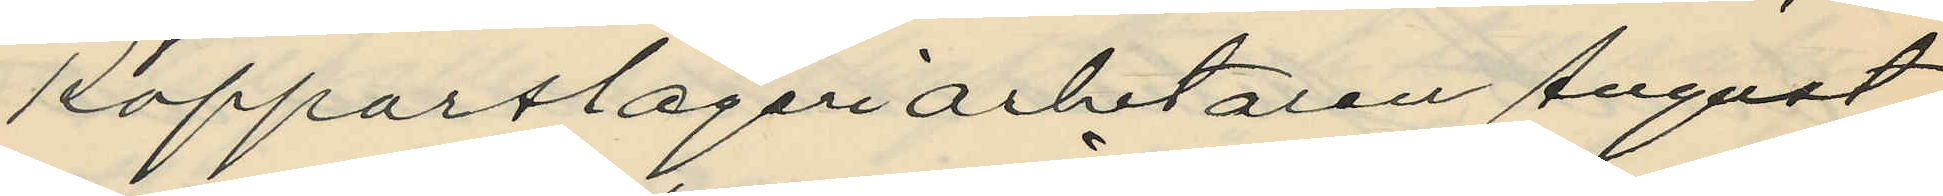Kopparslageriarbetaren August
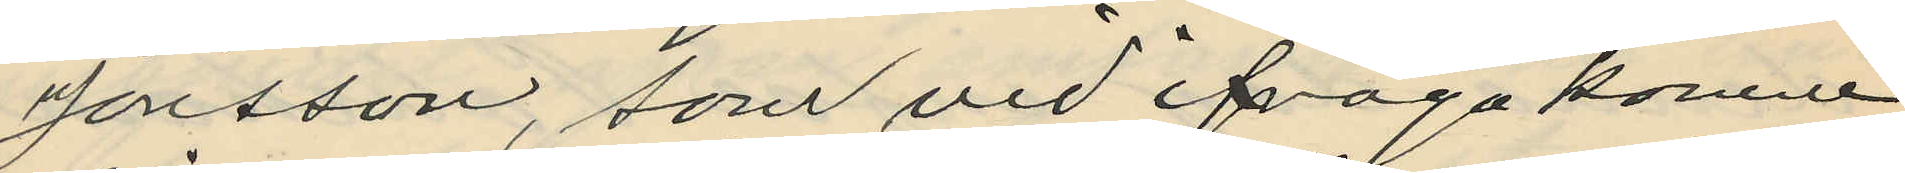Jonsson, som vid ifrågakomne
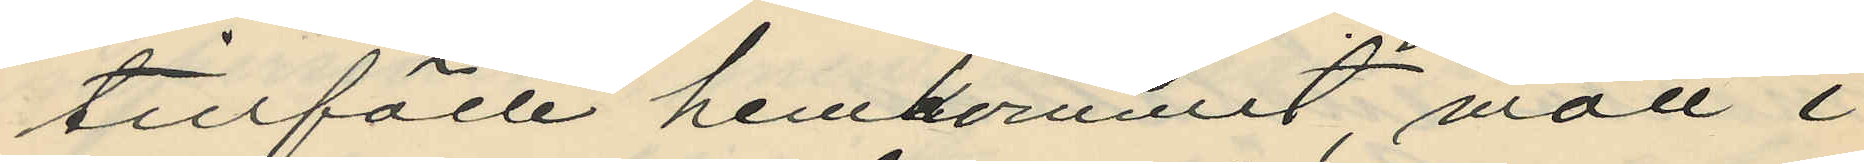tillfälle hemkommit mött i
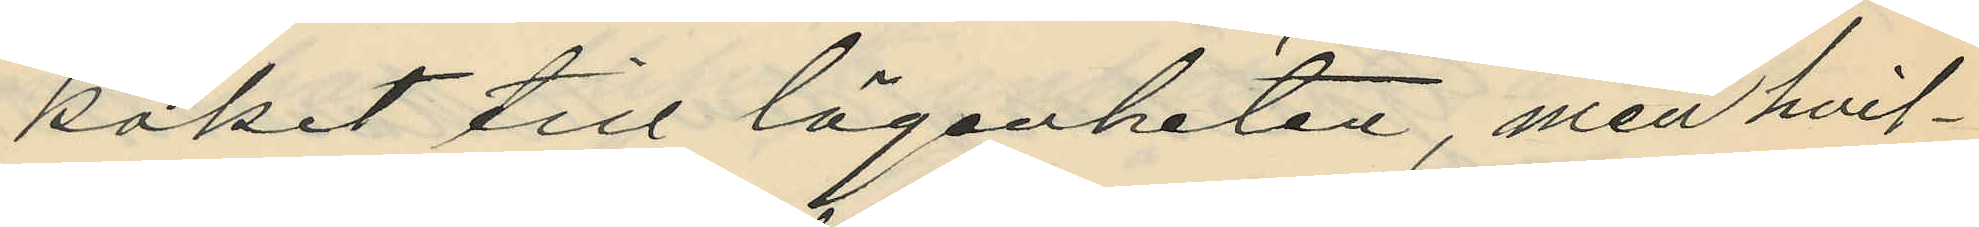köket till lägenheten, men hvil¬
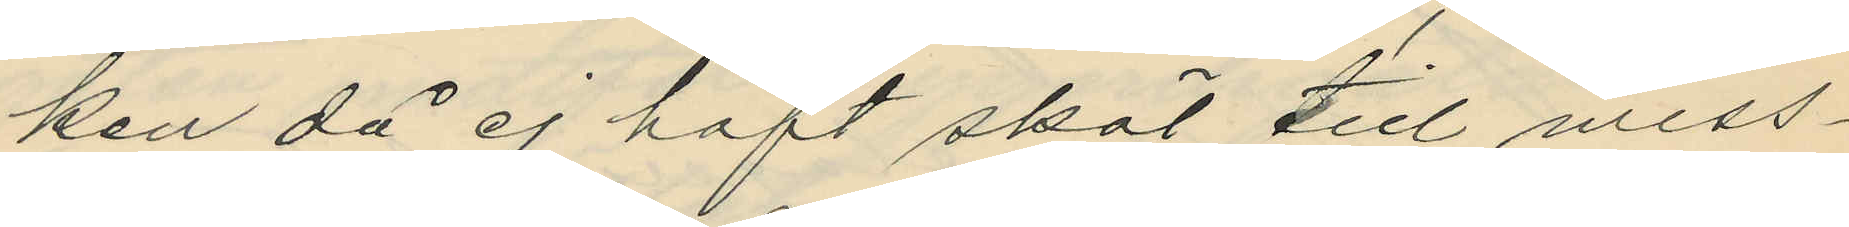ken då ej haft skäl till miss¬
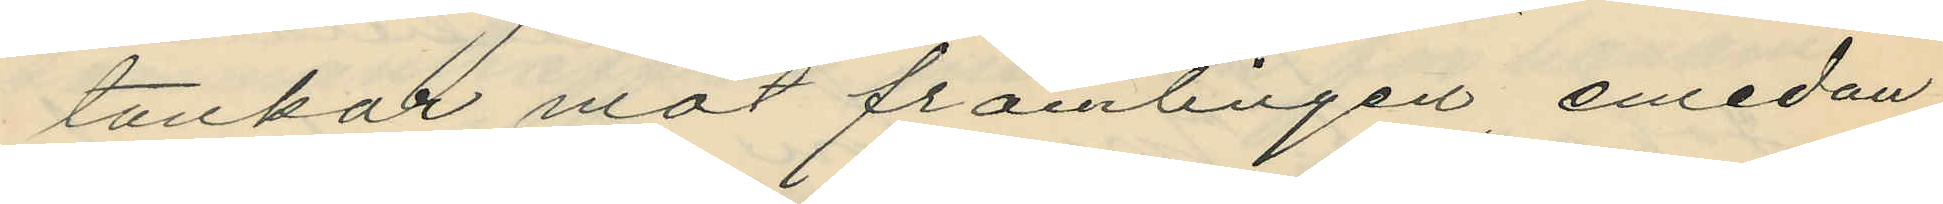tankar mot främlingen emedan
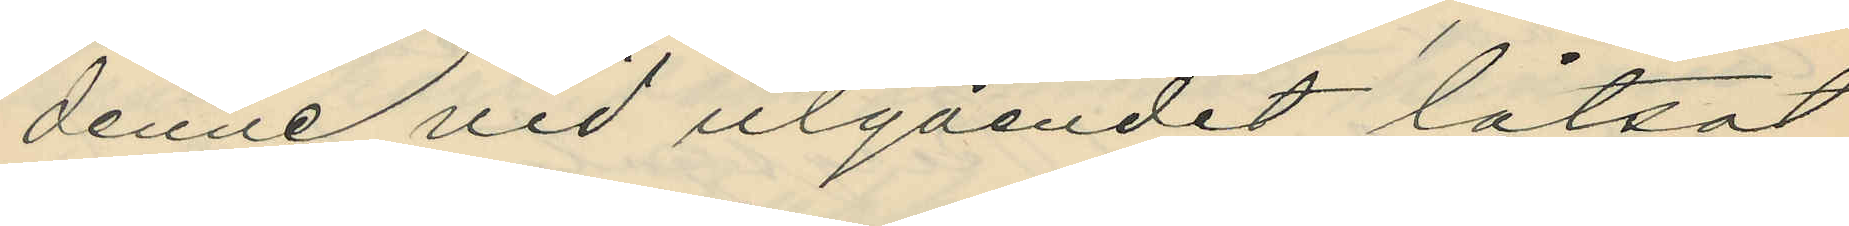denne vid utgåendet låtsat
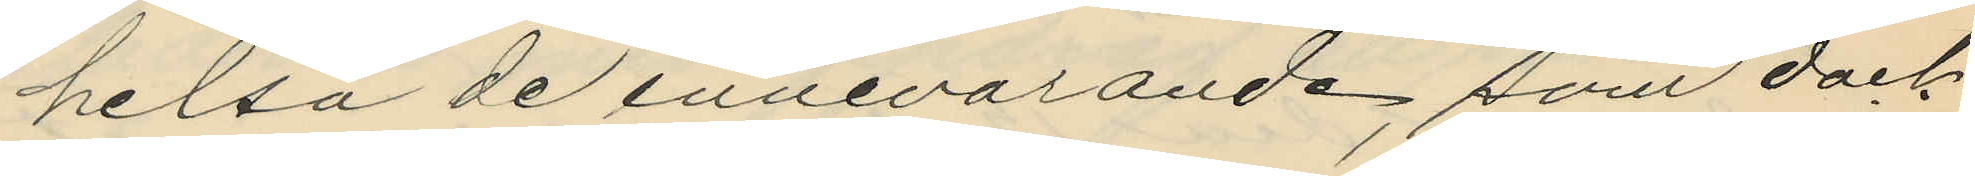helsa de innevarande; som dock
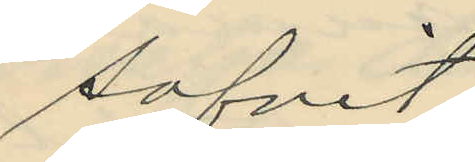sofvit.
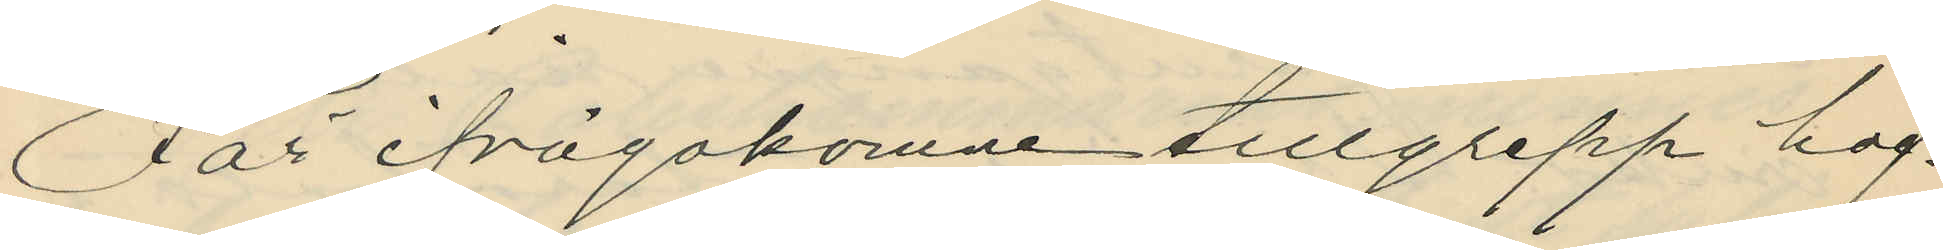För ifrågakomne tillgrepp haf¬
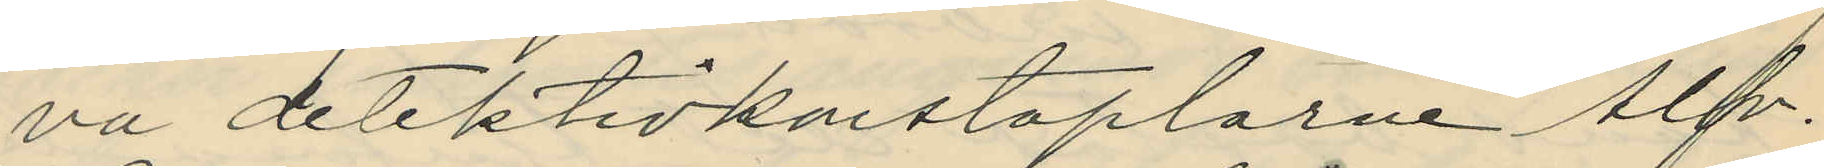va detektivkonstaplarne Alfr.
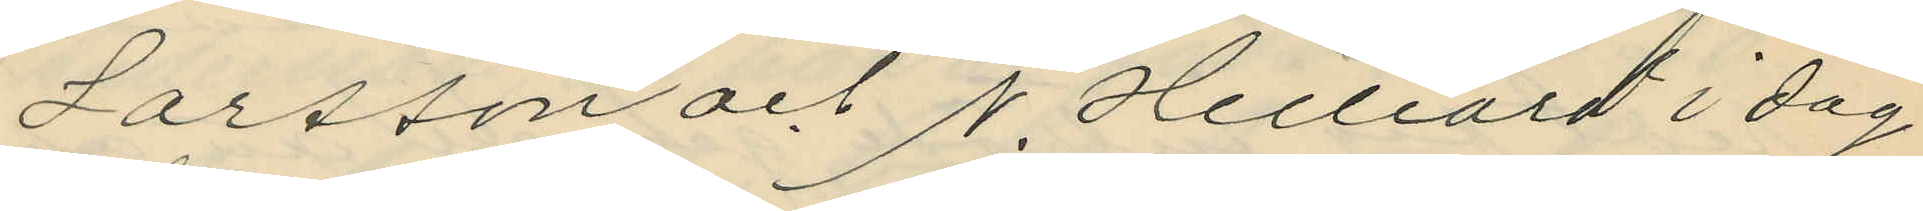Larsson och N. Hilliard i dag
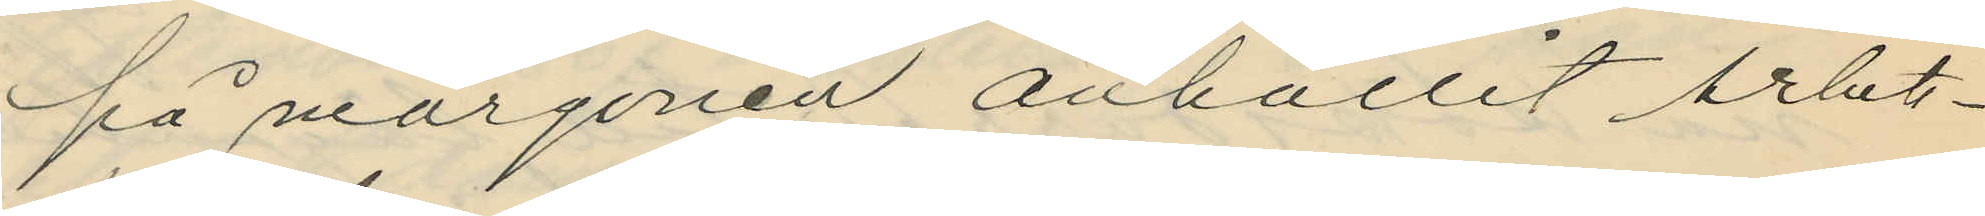på morgonen anhållit Arbets¬
